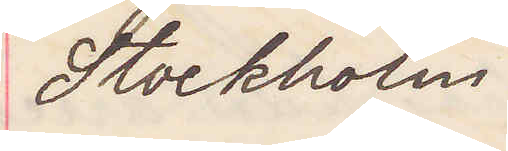Stockholm.
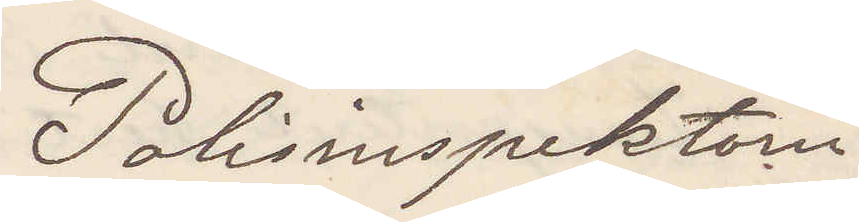Polisinspektorn
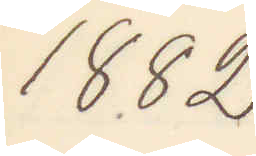1882
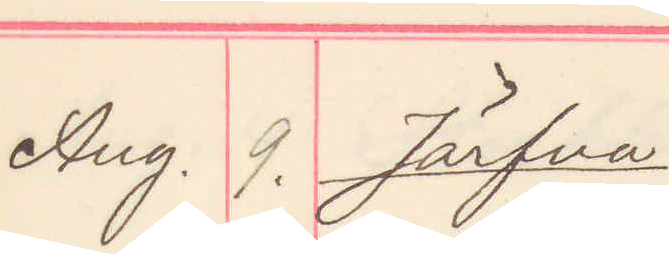Aug. 9. Järfva.
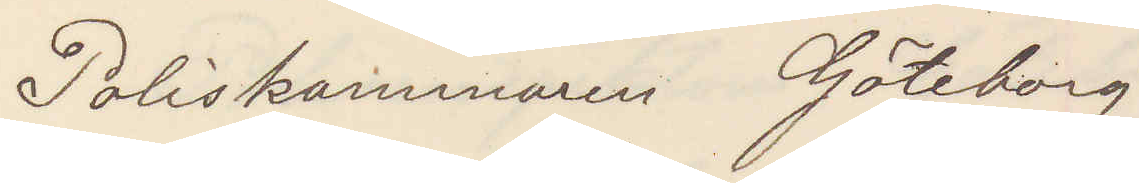Poliskammaren Göteborg
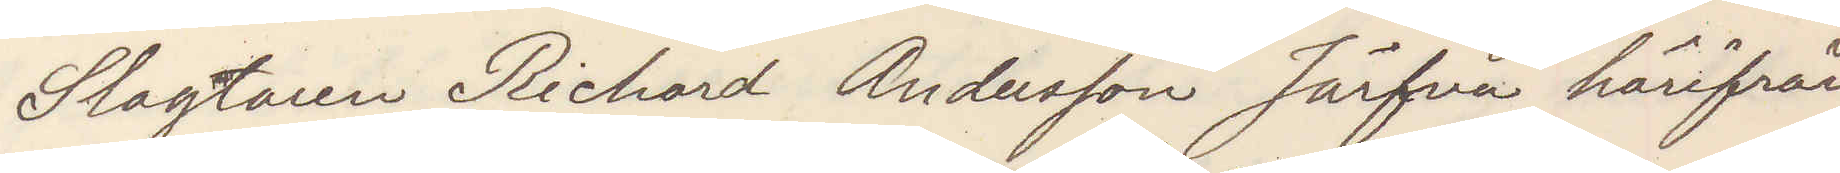Slagtaren Richard Andersson Järfva härifrån
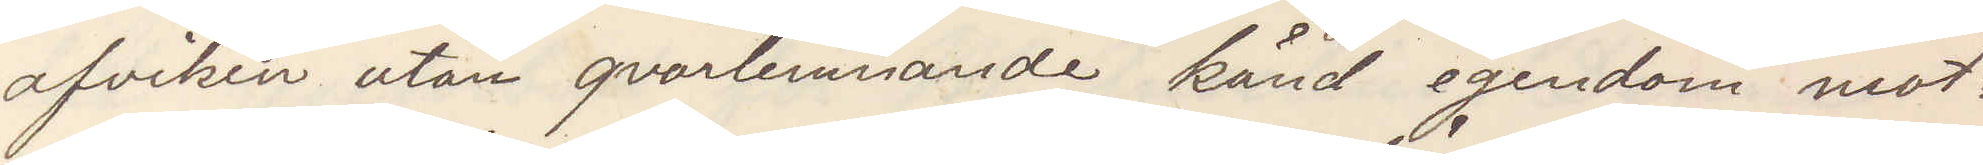afviken utan qvarlemnande känd egendom mot¬
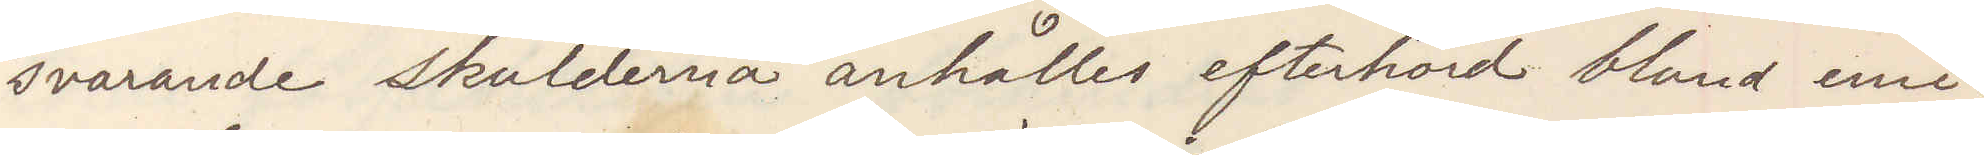svarande skulderna anhålles efterhörd bland emi¬
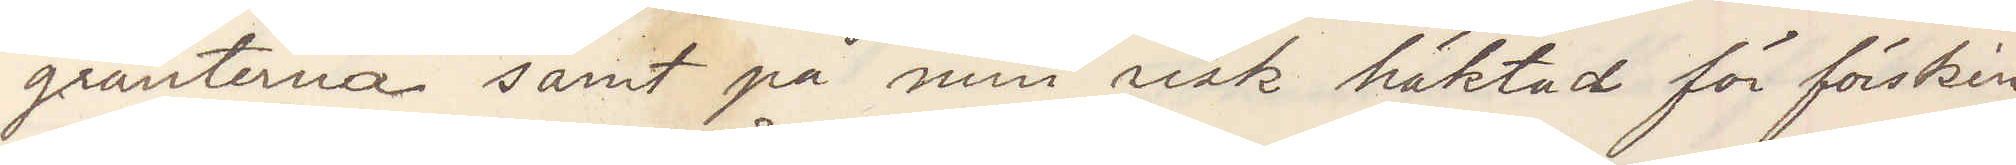granterna samt på min risk häktad för försking¬
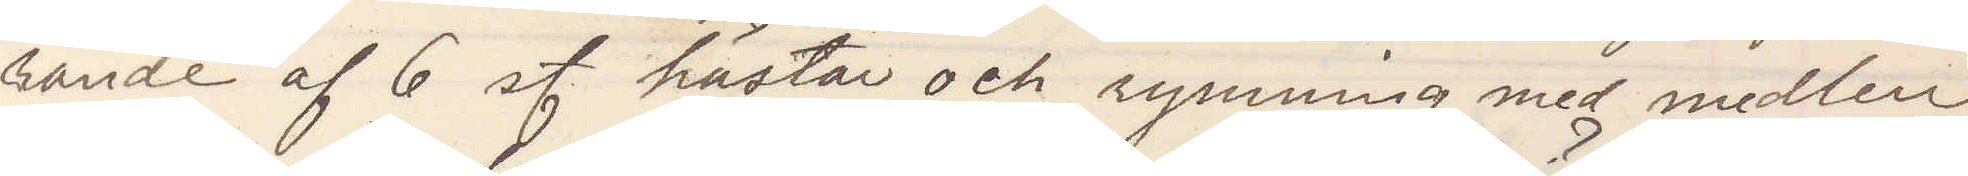rande af 6 st hästar och rymning med medlen
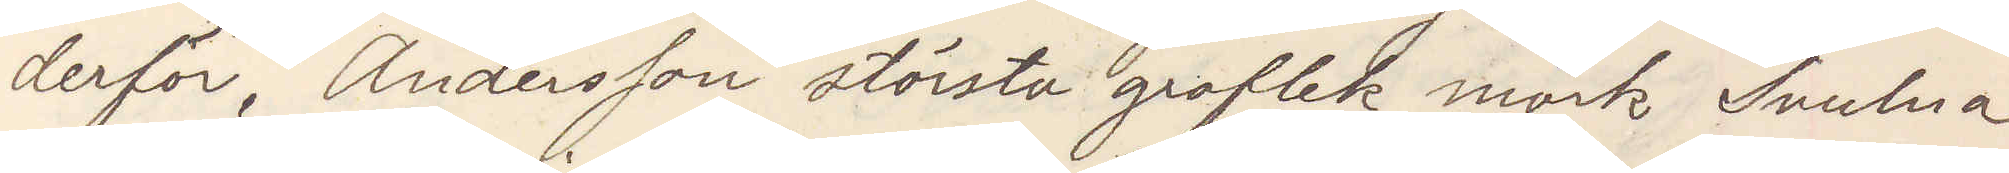derför Andersson största groflek mörk Svulna
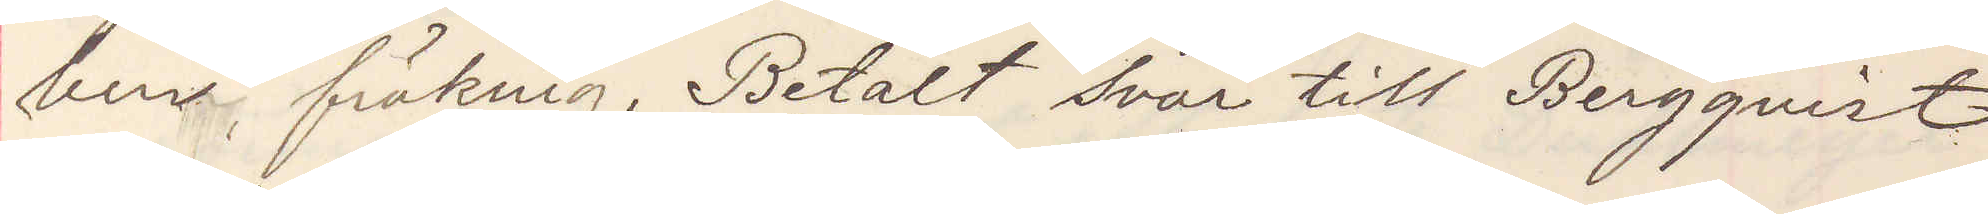ben, fräknig. Betalt svar till Bergqvist
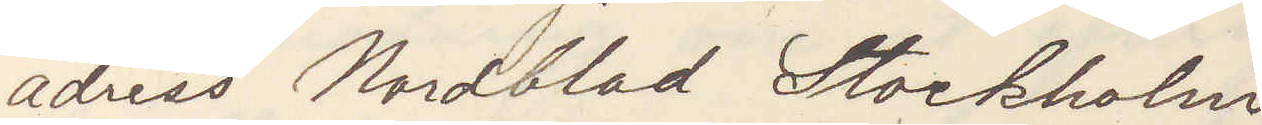adres Nordblad Stockholm
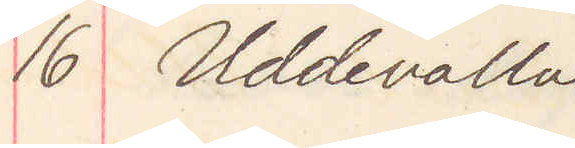16 Uddevalla 
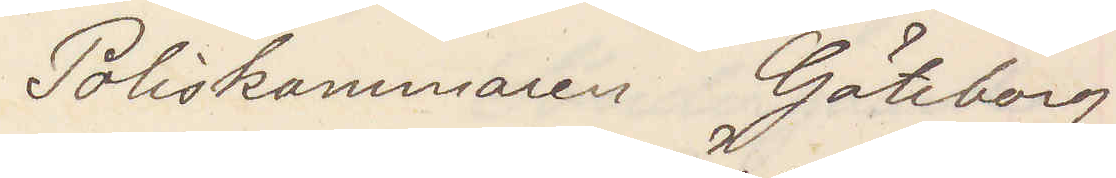poliskammaren Göteborg
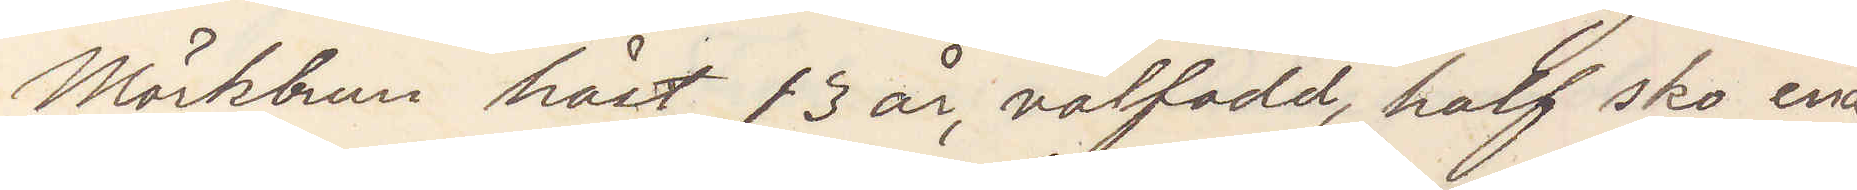Mörbrun häst, 13 år, välfödd, half sko ena
